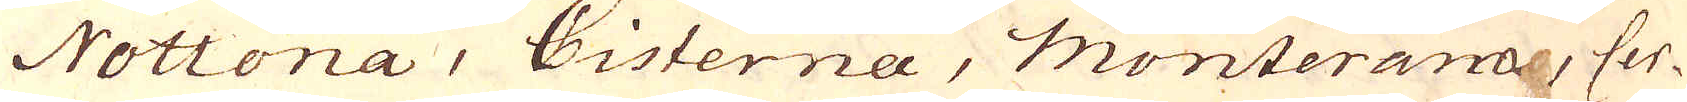Nottona, Cisterna, Monterana, Cer-
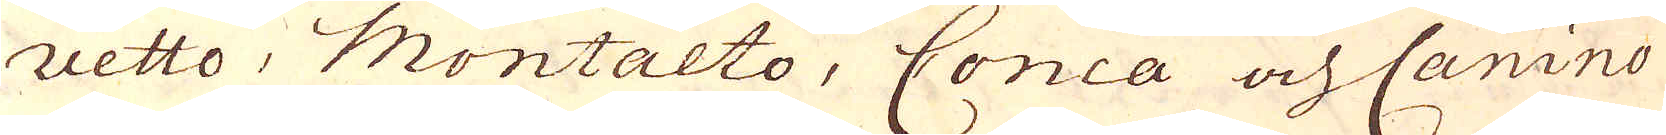vetto, Montalto, Conca och Canino
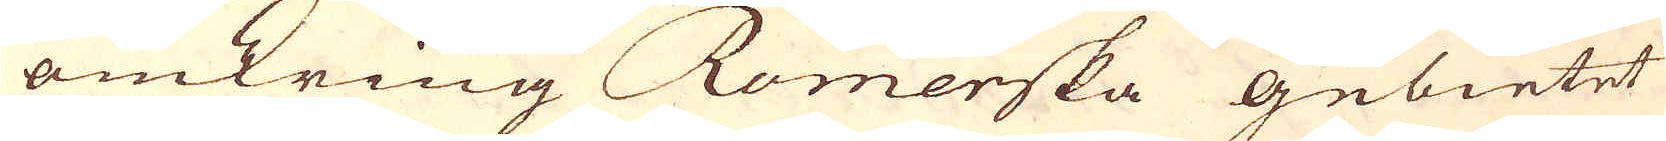omkring Romerska gebietet
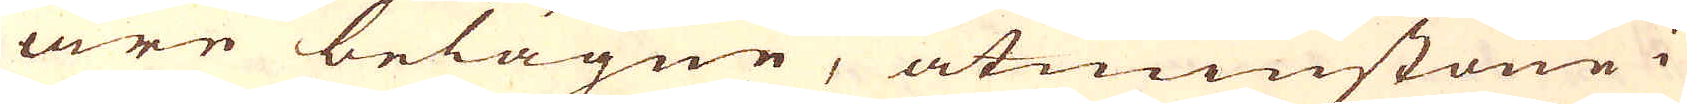äre belägne, åtminstone i
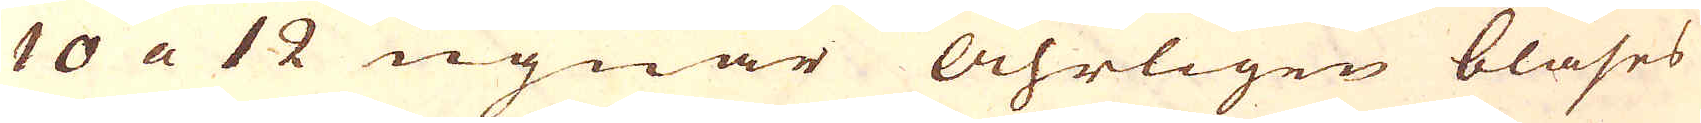10 a 12 ugnar åhrligen blåses
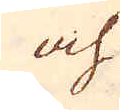och
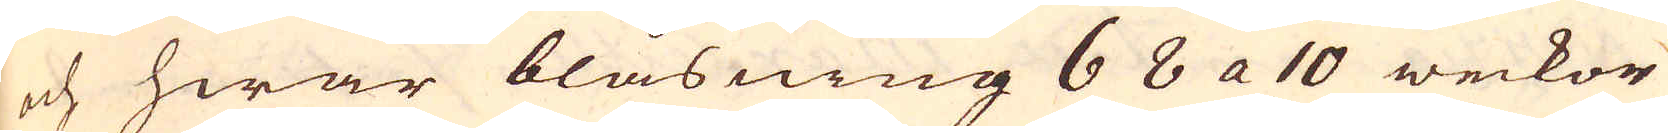och hwar blåsning 6 8 a 10 weckor
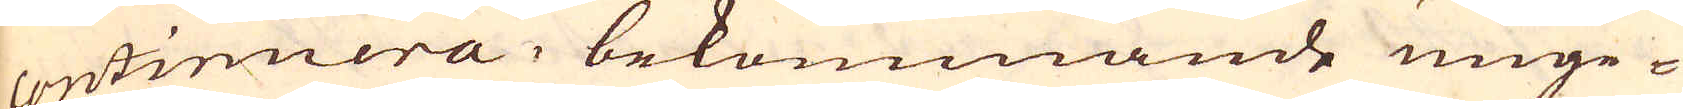continuera, bekommande unge-
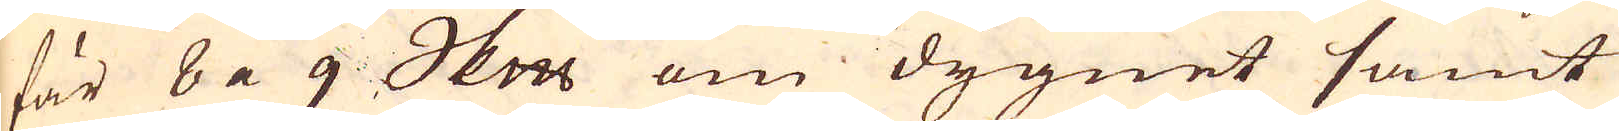fär 8 a 9 Skeppund om dygnet samt
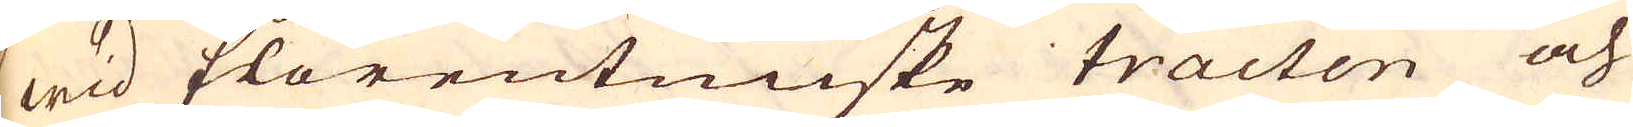wid florentinske tracten och
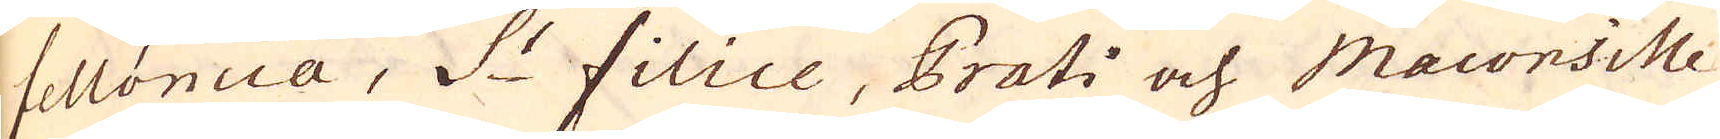felloncia, S:t filice, Prati och Maconsille
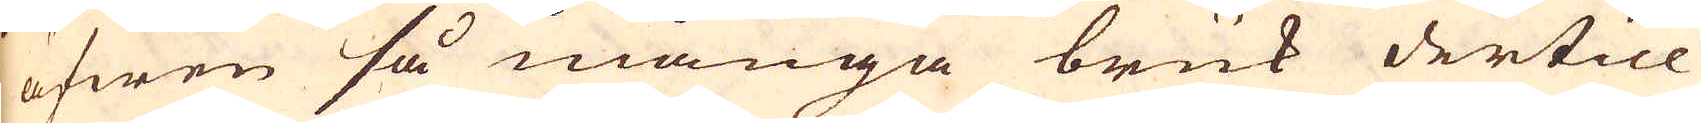äfwen så många bruk dertill
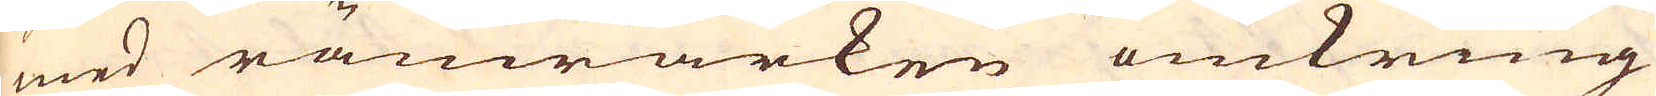med ränwärken omkring
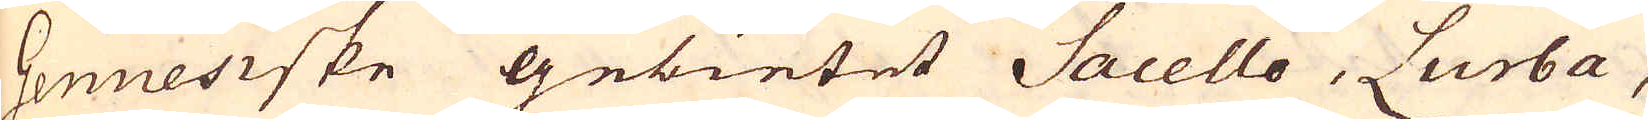Genuesiske gebietet Sacello, Lurba,
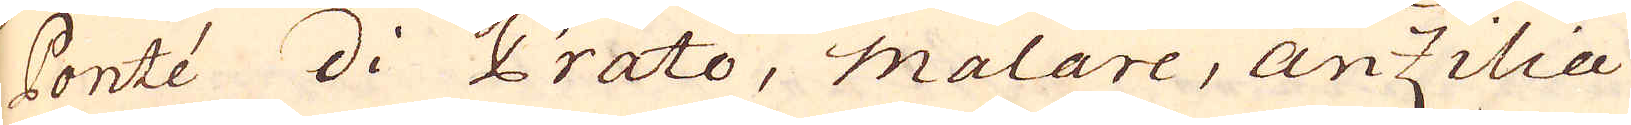Contée di Prato, Malare, Anzilae
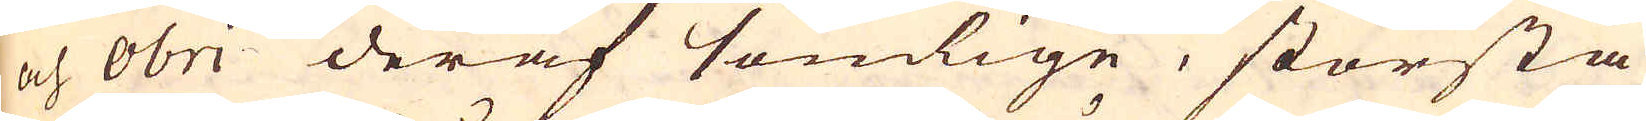och obri deraf somlige, största
